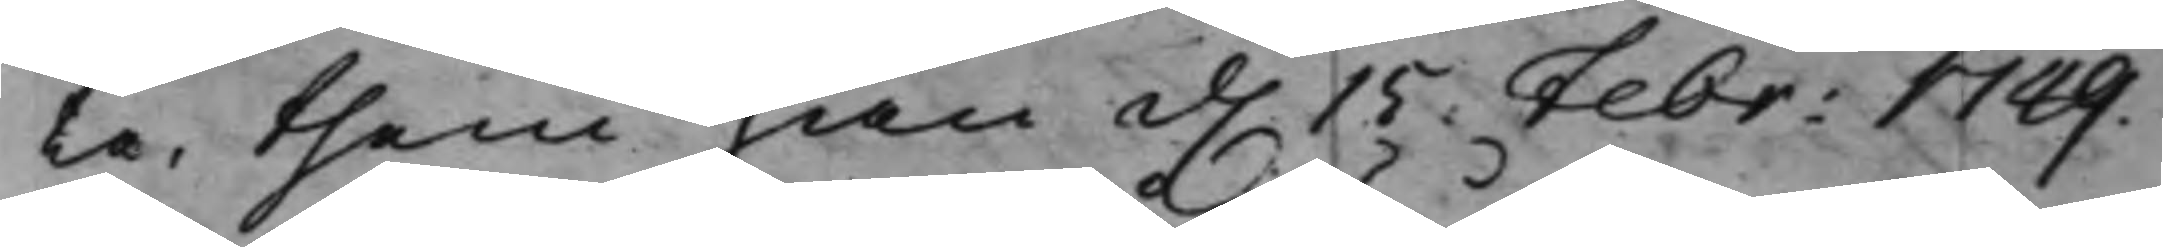ta, them han d. 15. Febr: 1749.
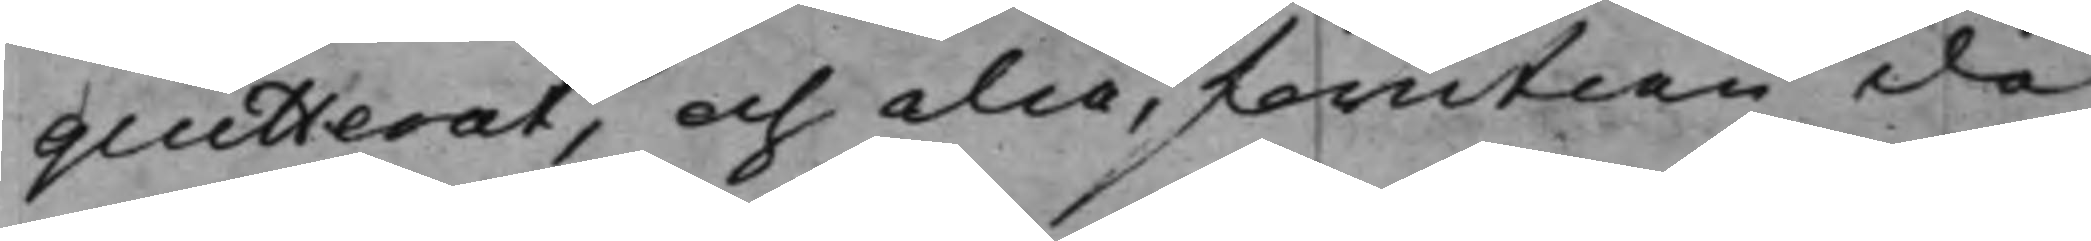quitterat, och då, förutan de
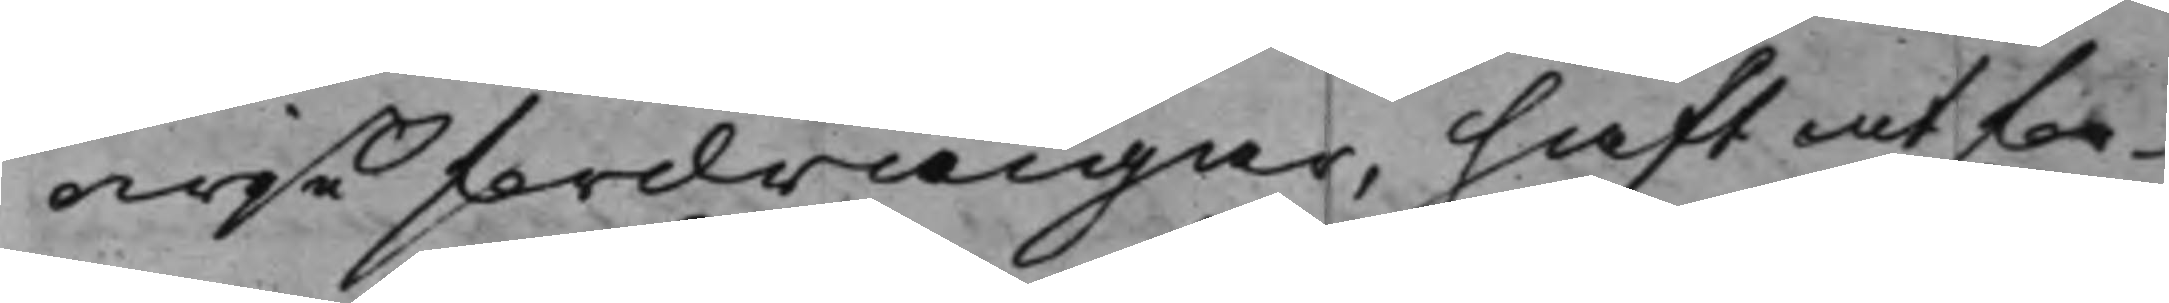owiße fordringar, haft at for¬
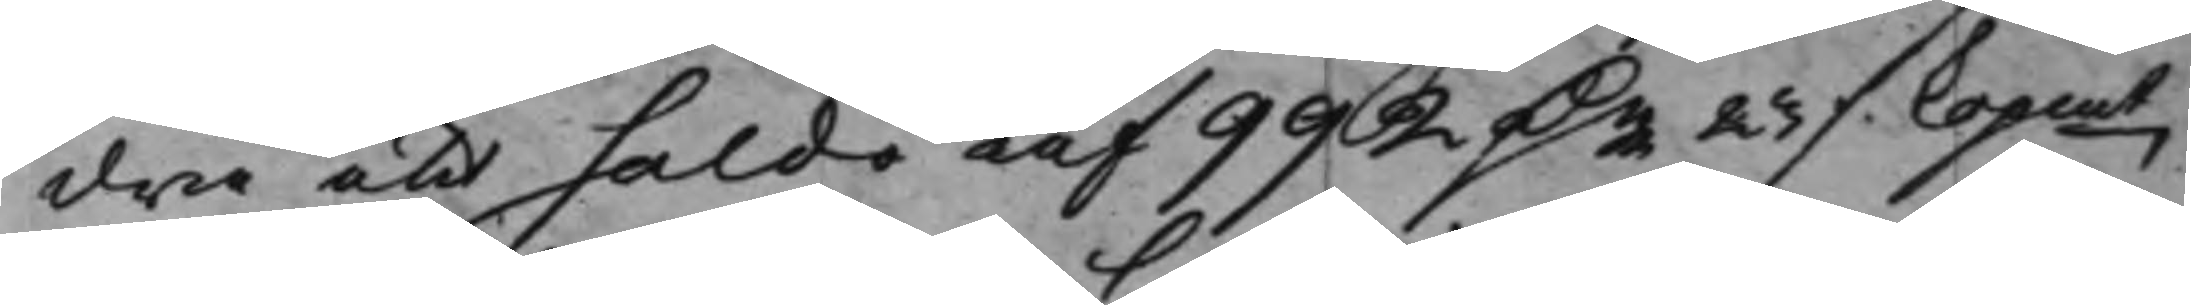dra ett saldo af 992 D.r 23 ./. Kopmt,
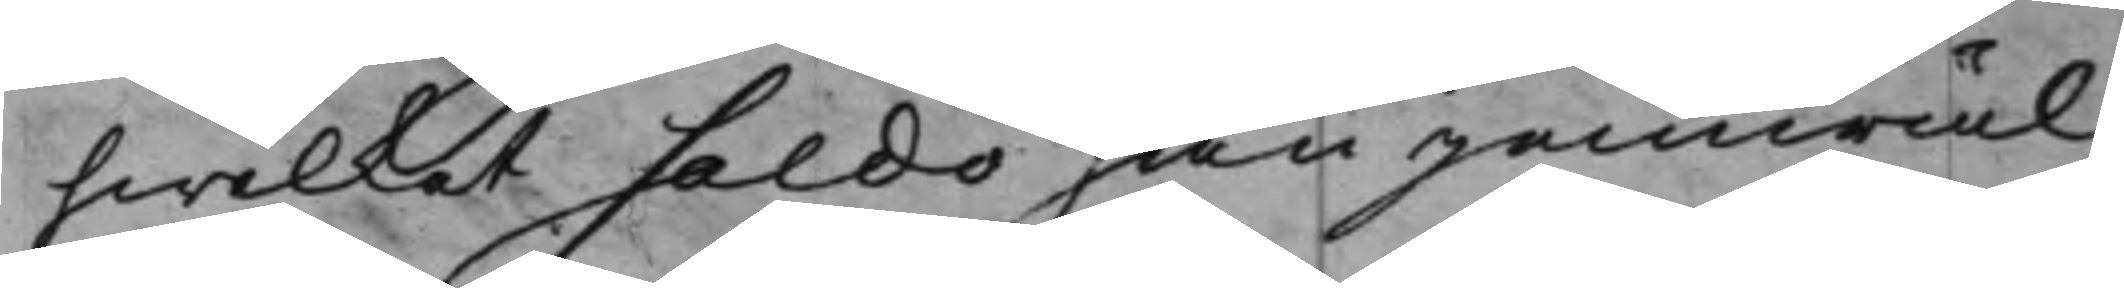hwilket saldo han jemwäl
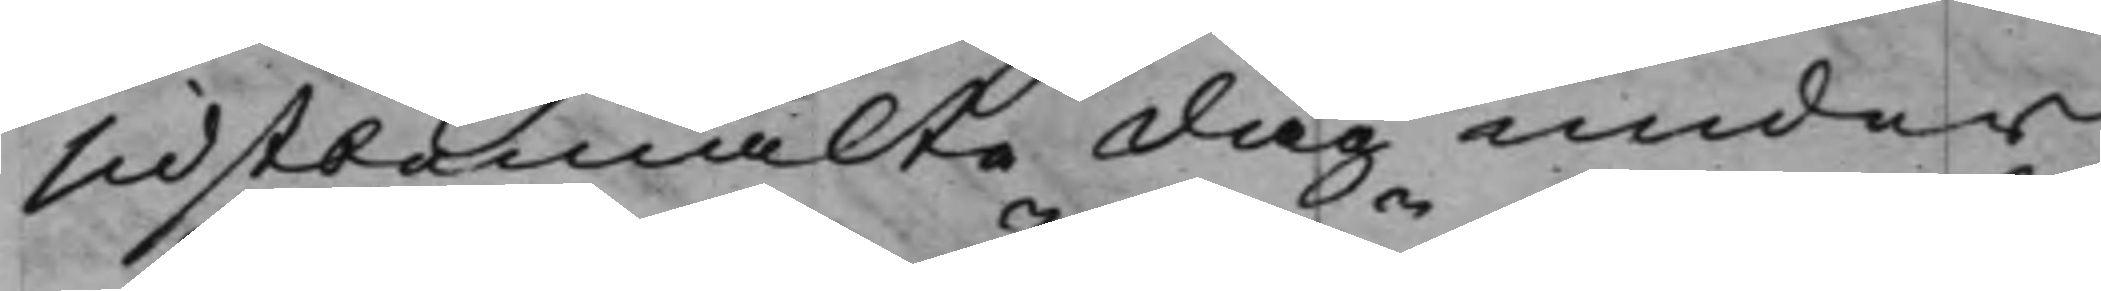sidstbemälte dag under
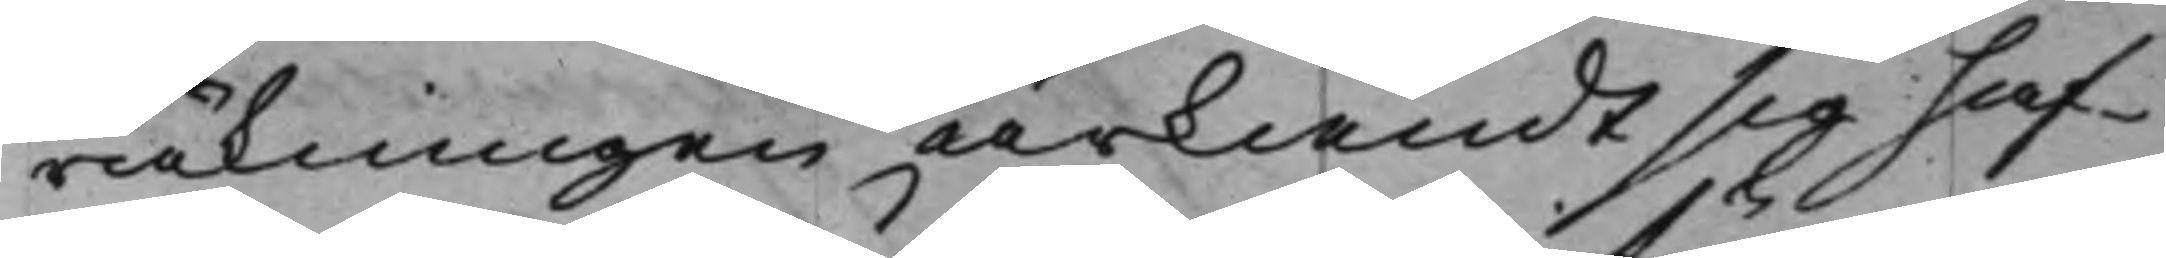räkningen ärkiändt sig haf¬
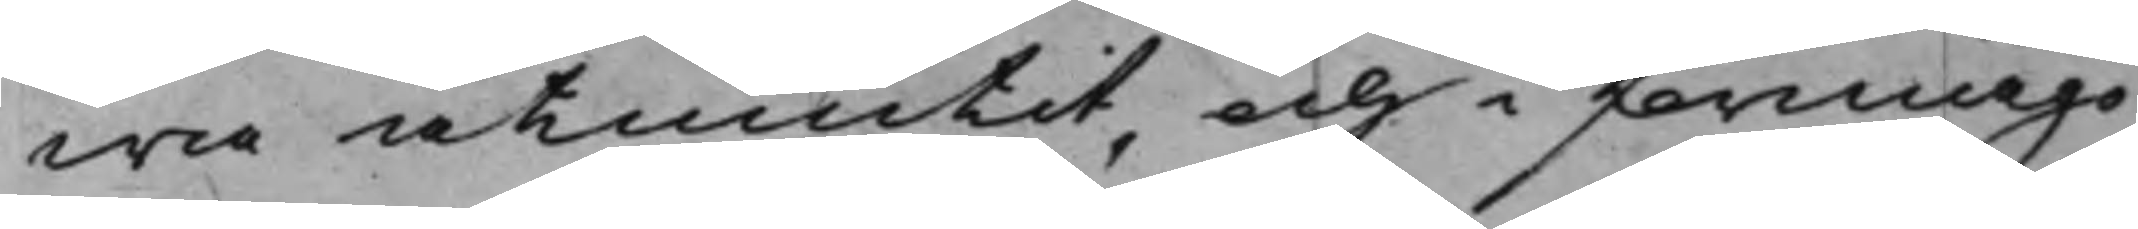wa åtniutit, och i förmågo
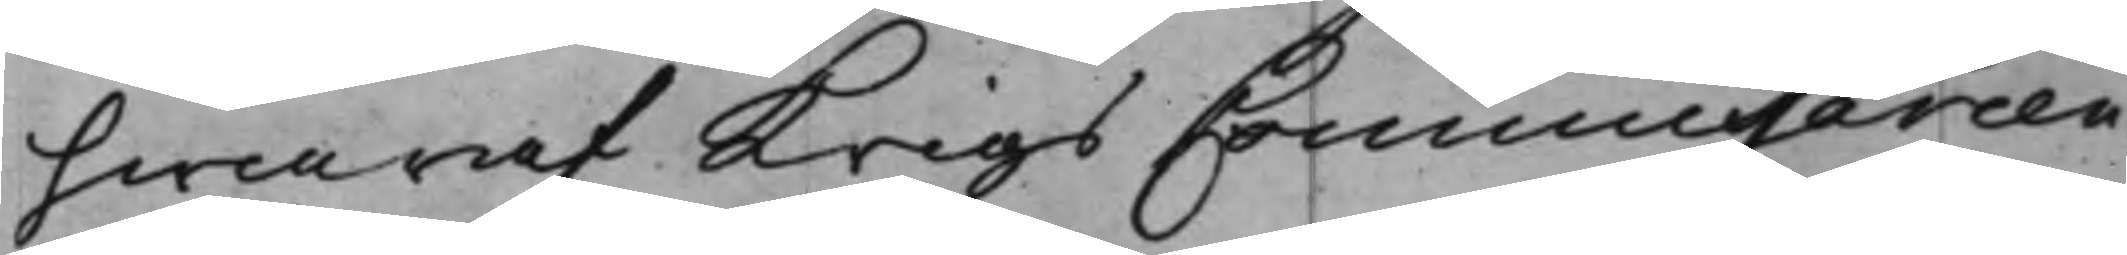hwaraf KrigsCommissarien
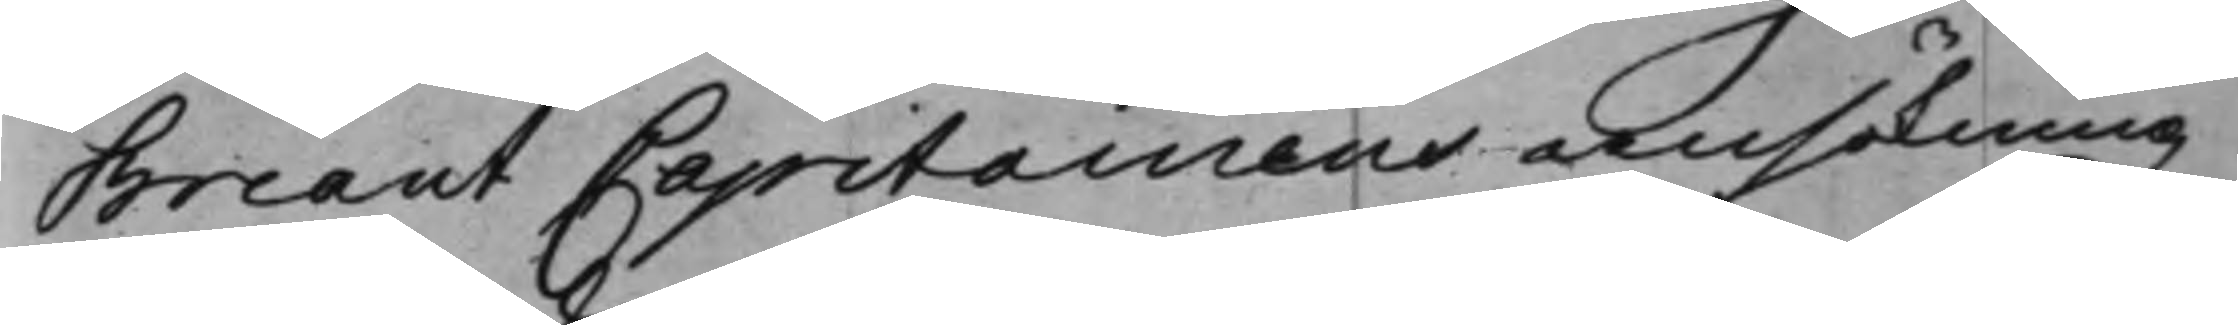Briant Capitainens ansökning
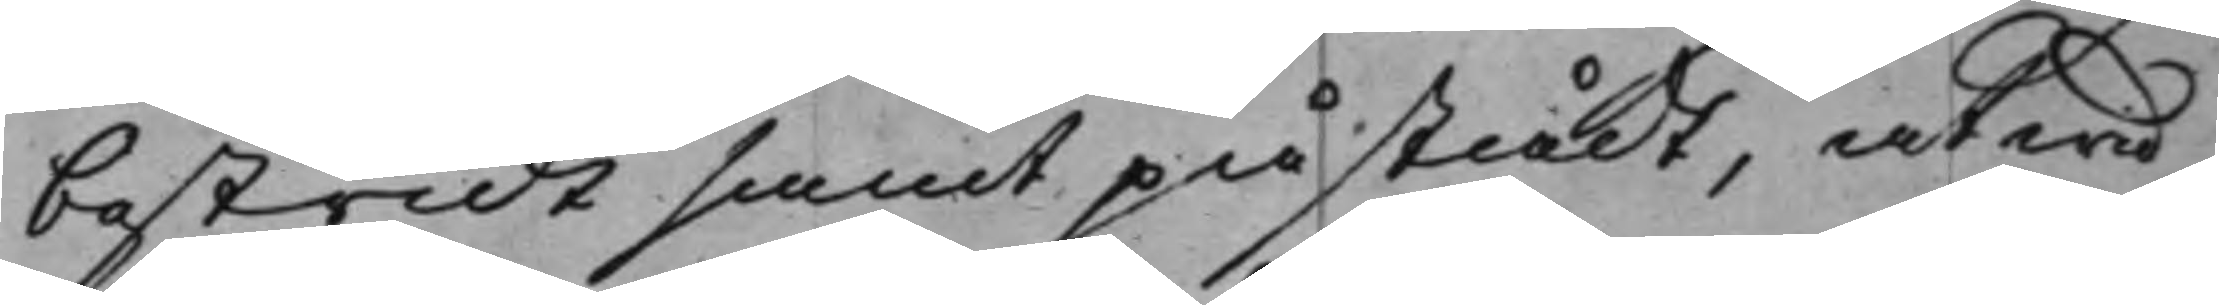bestridt samt påstådt, at wid
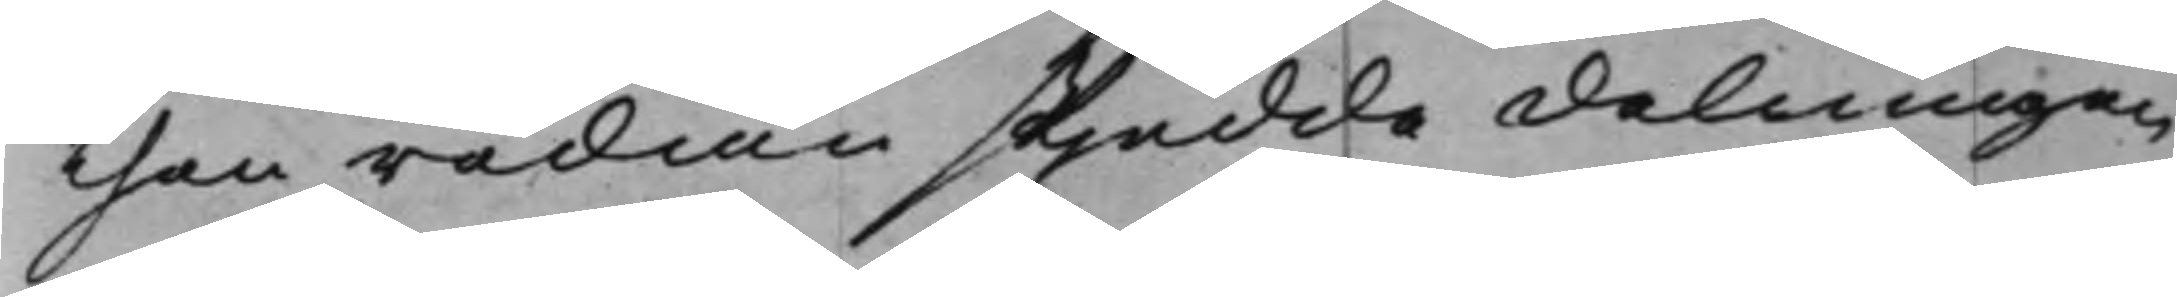then redan skjedde delningen
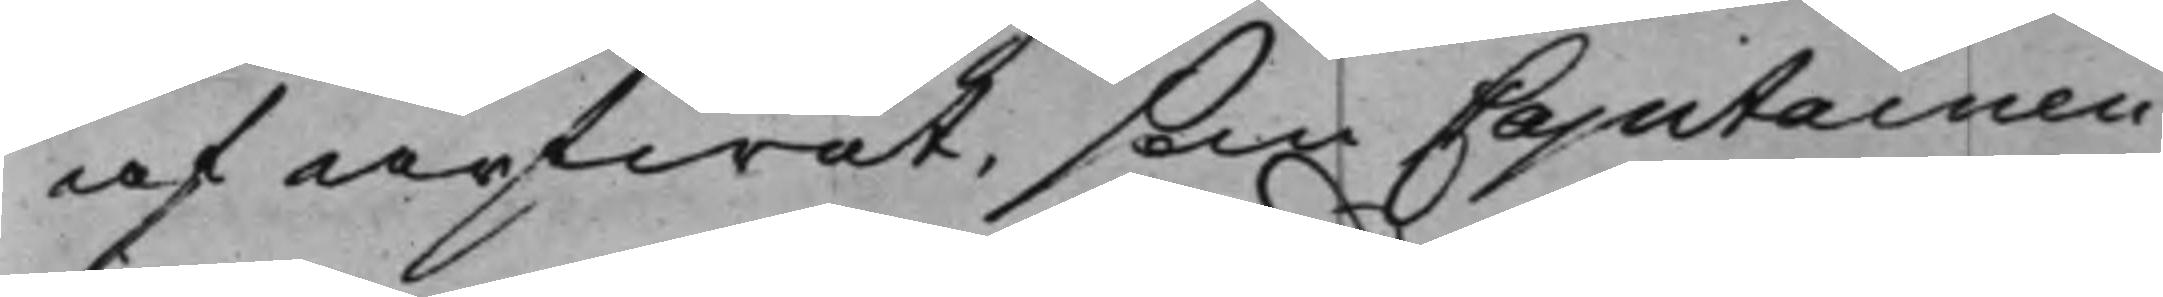af arfwet, som Capitainen
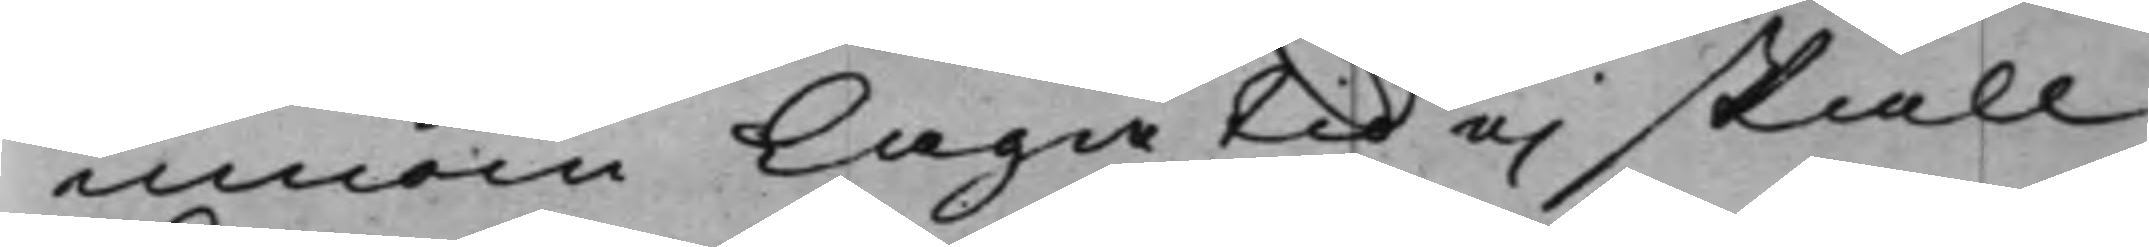innom Laga tid ej skall
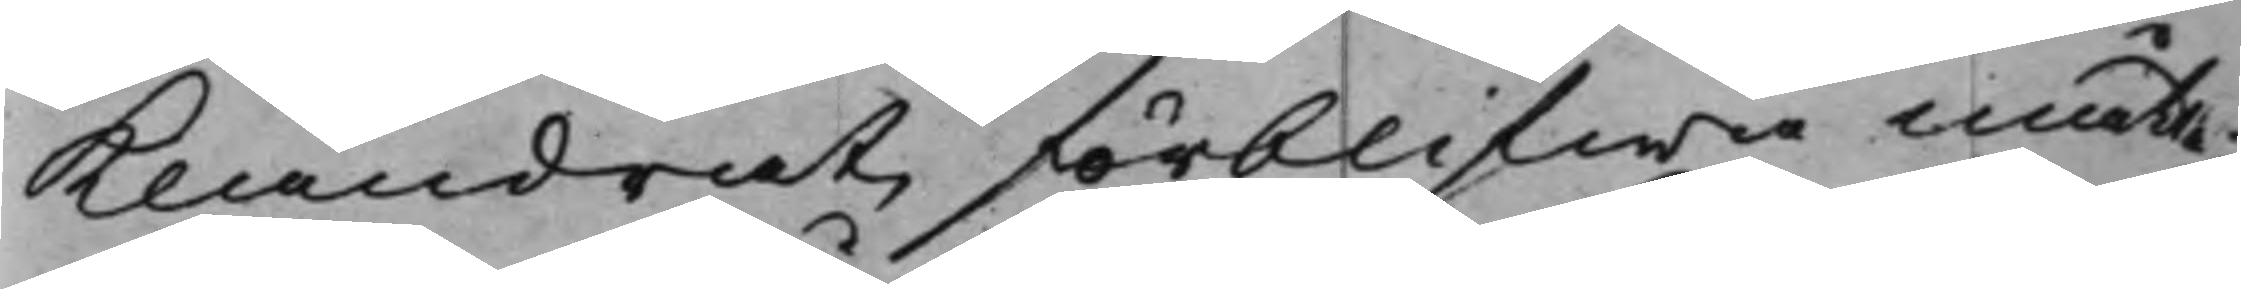Klandrat, förblifwa måtte;
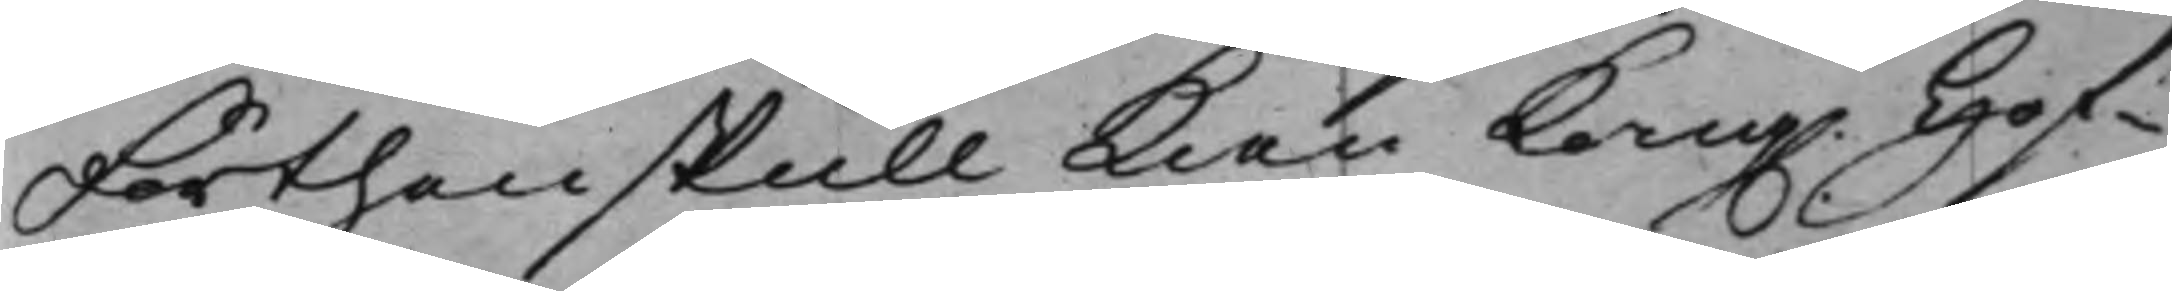Förthenskull kan Kong. Hof¬
